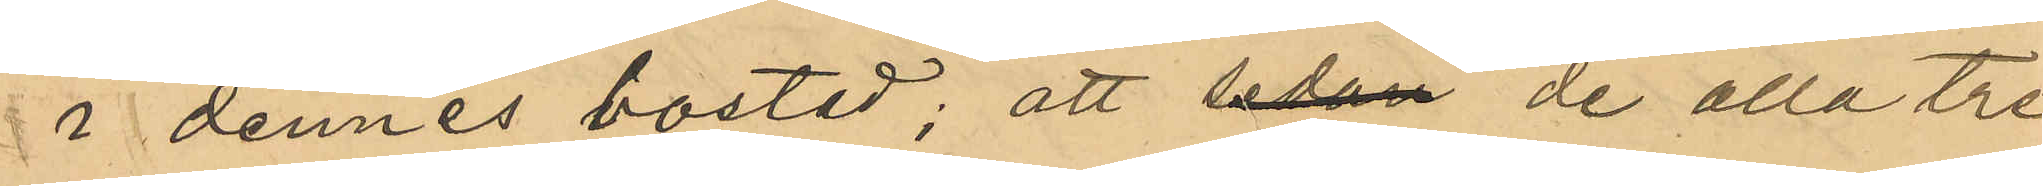i dennes bostad; att sedan de alla tre
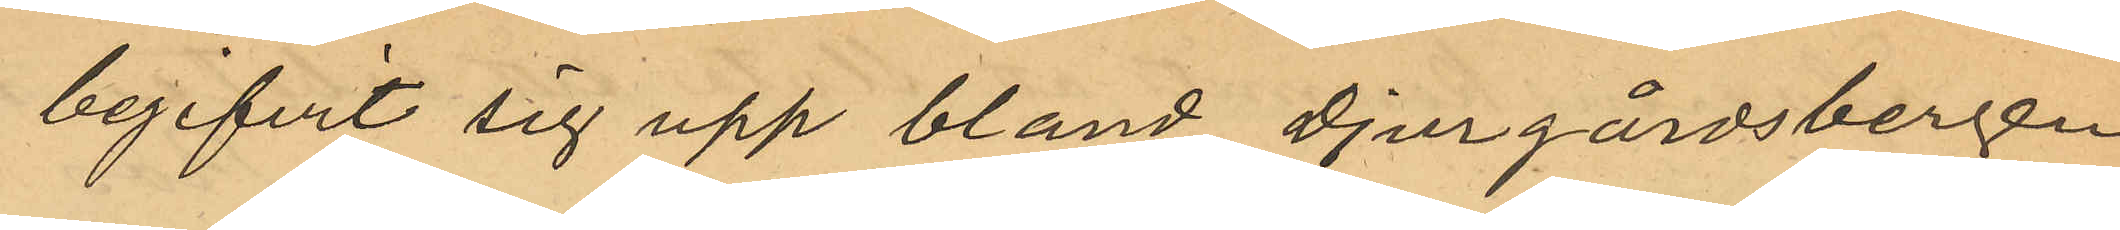begifvit sig upp bland Djurgårdsbergen
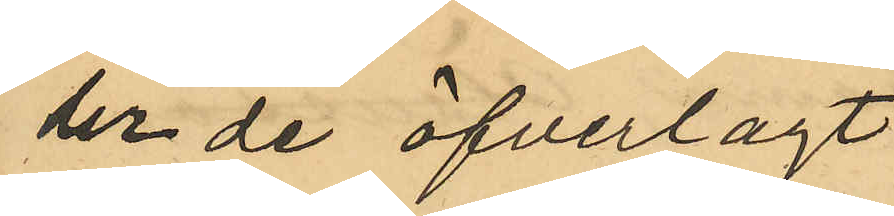der de öfverlagt 
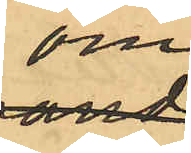om
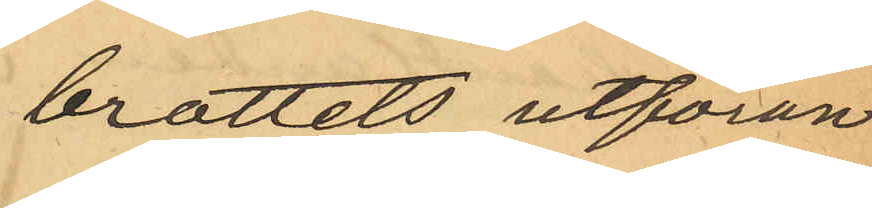brottets utföran¬
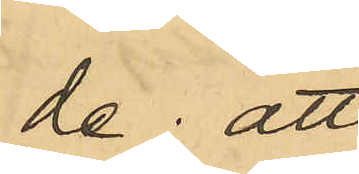de; att
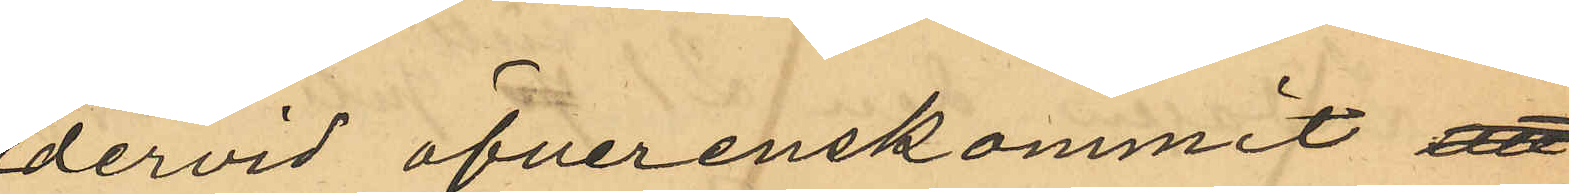dervid öfverenskommit att
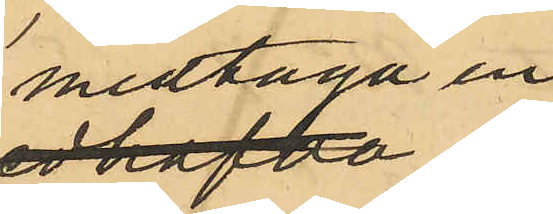medtaga en
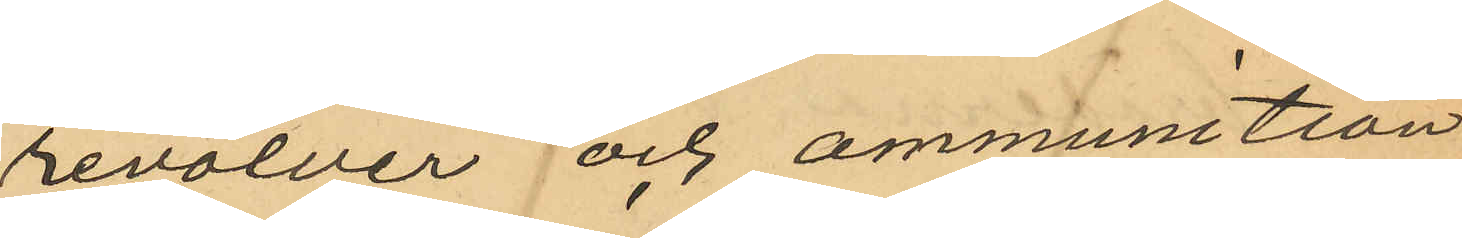revolver och ammunition;
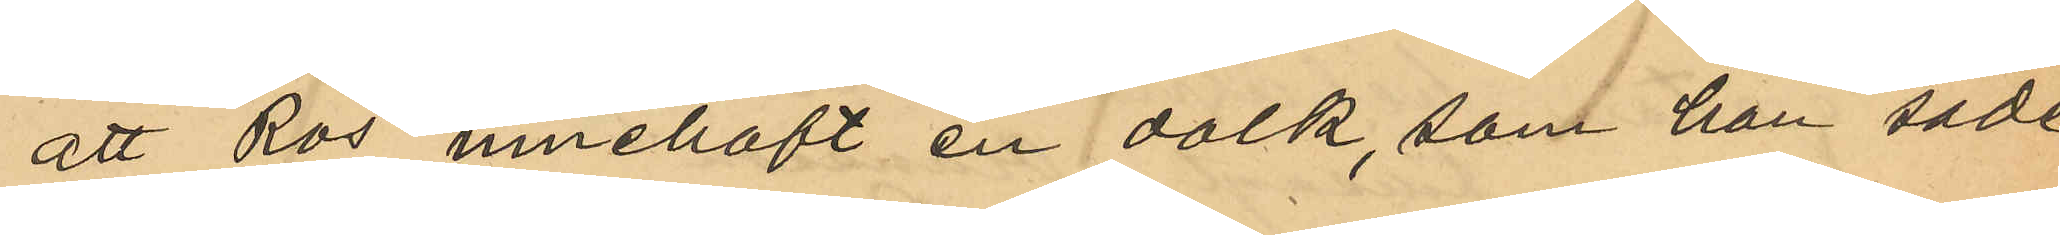att Ros innehaft en dolk, som han sade
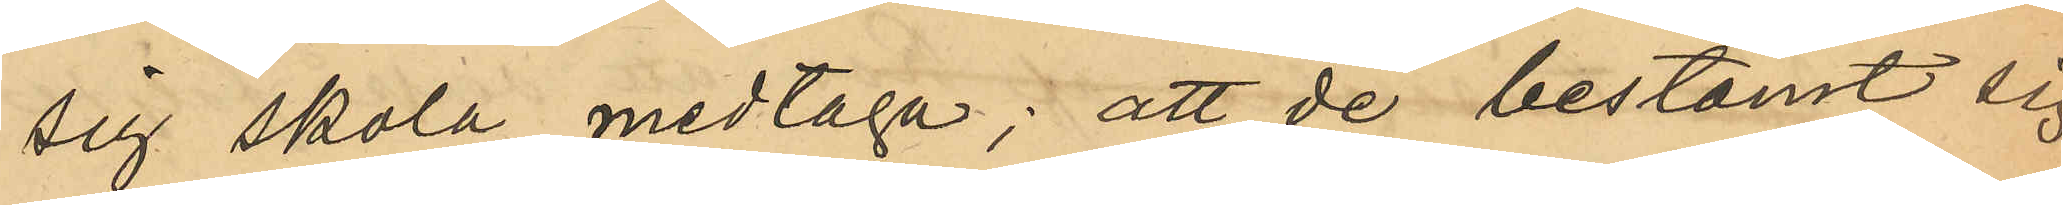sig skola medtaga; att de bestämt sig
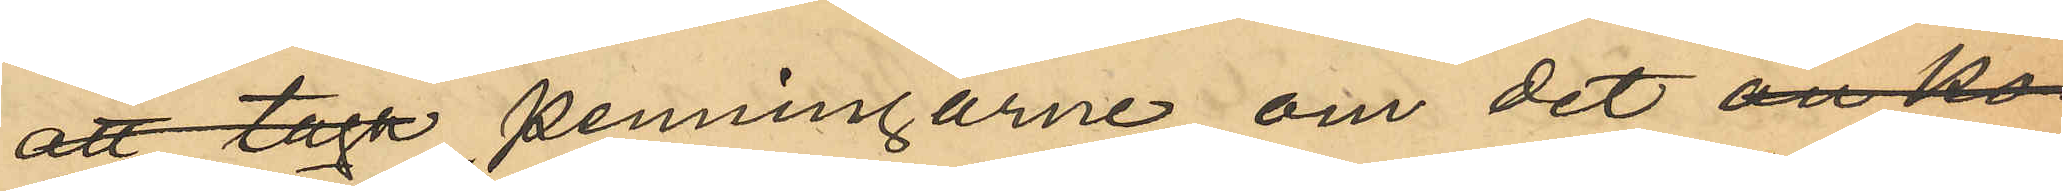att taga penningarne om det än ko¬
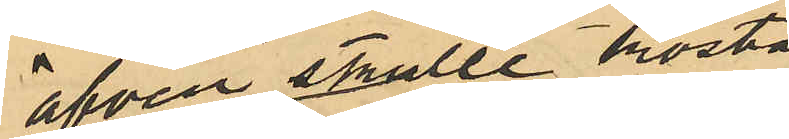äfven skulle kosta
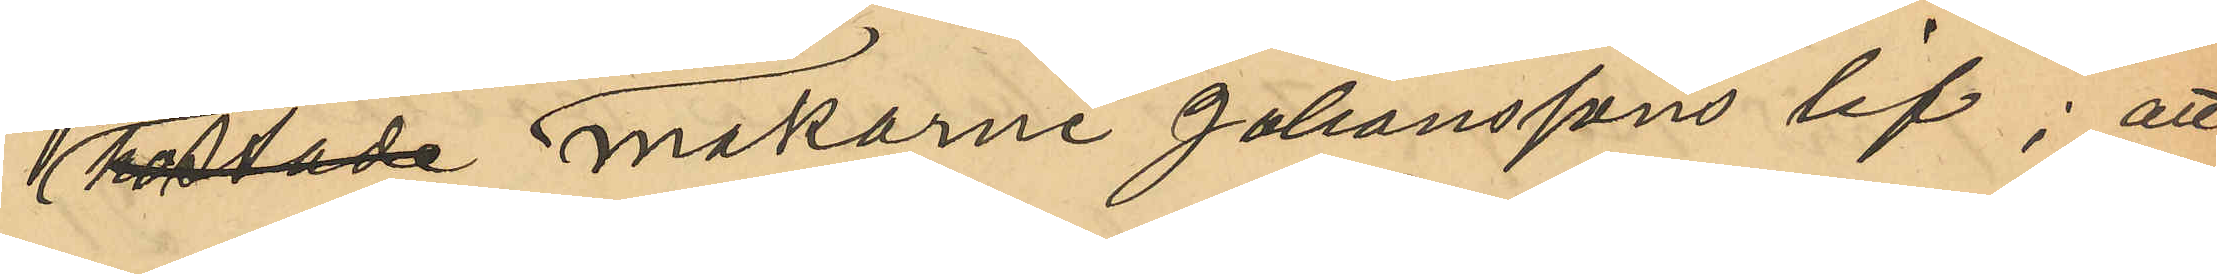kostade makarne Johanssons lif; att
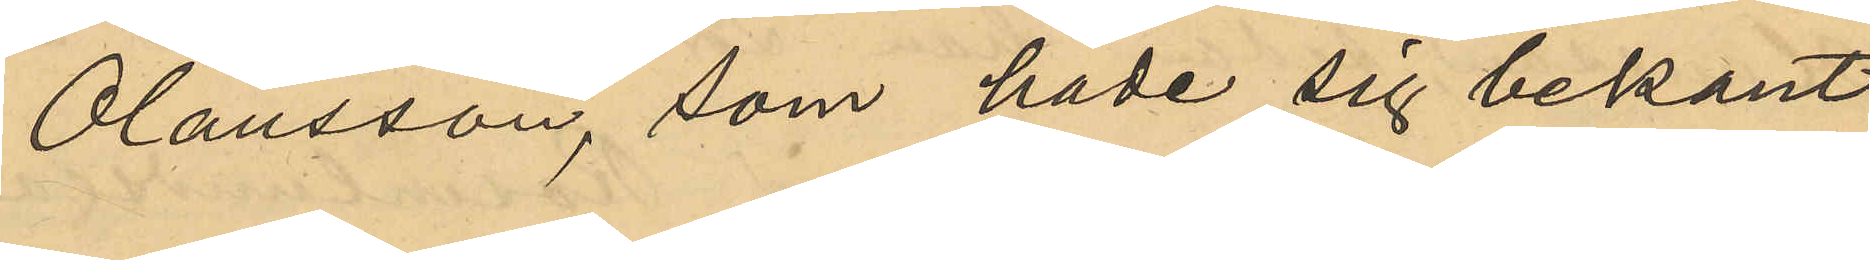Olausson, som hade sig bekant 
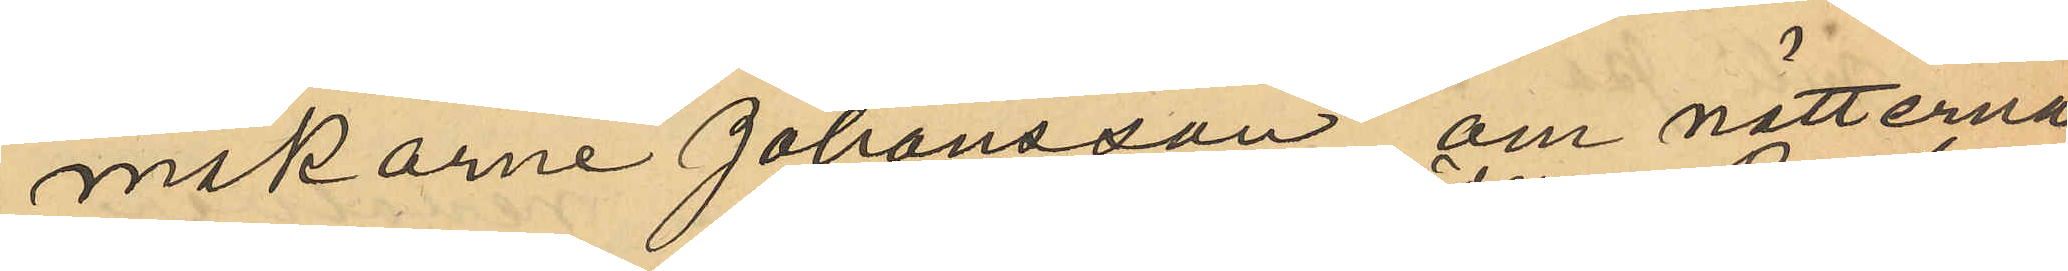makarne Johansson om nätterna
